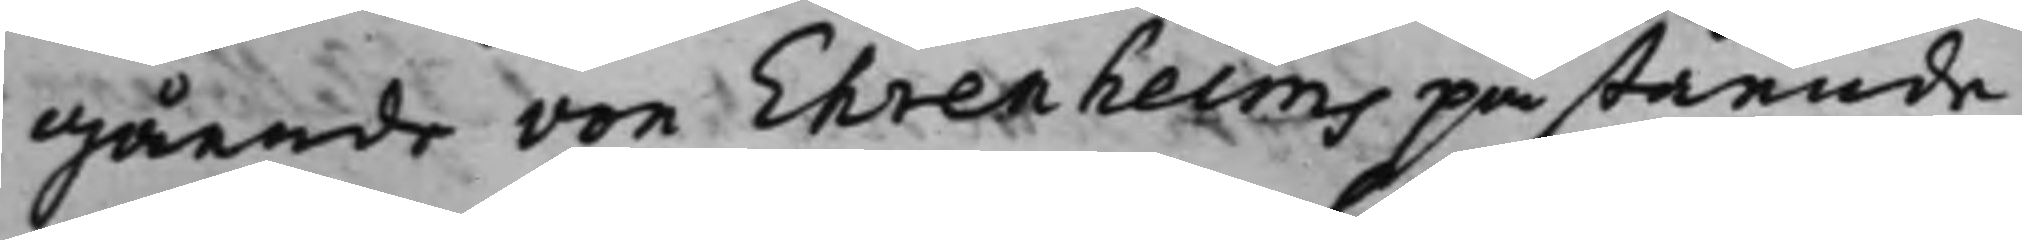gående von Ehrenheims påstående
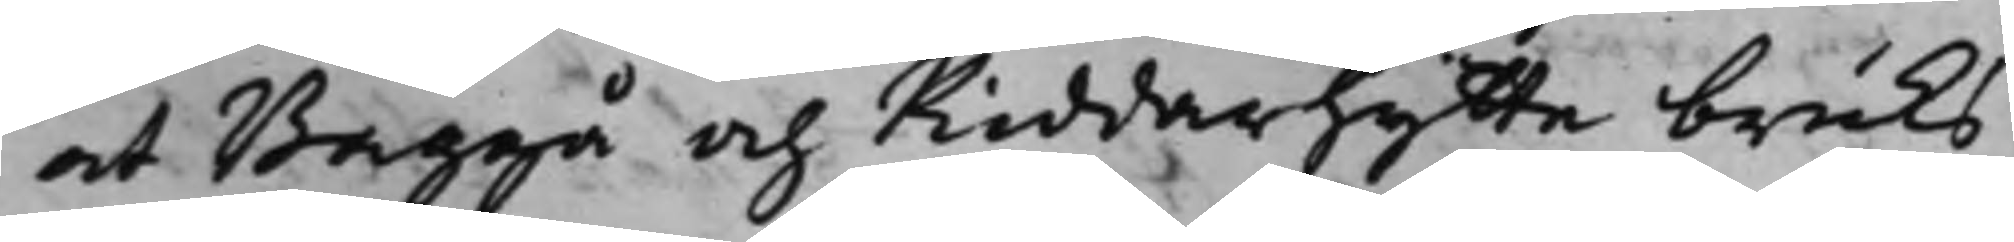at Baggå och Riddarhytte bruks
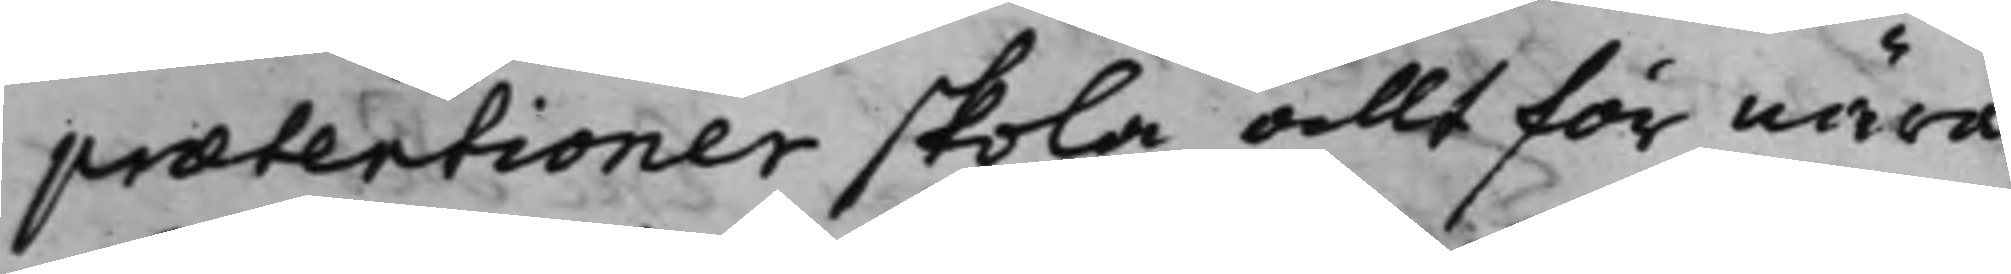prætentioner skola allt för nära
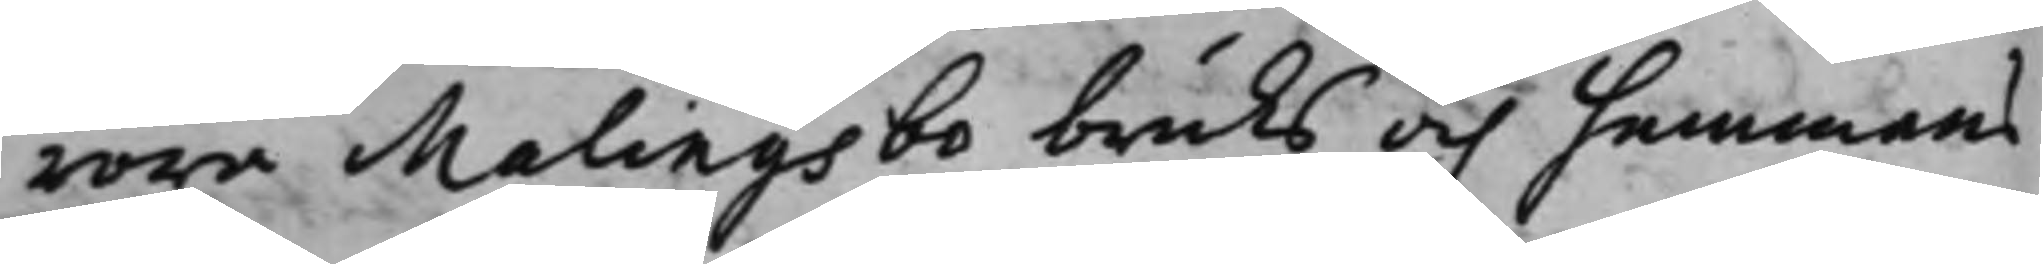röra Malingsbo bruks och hemmans
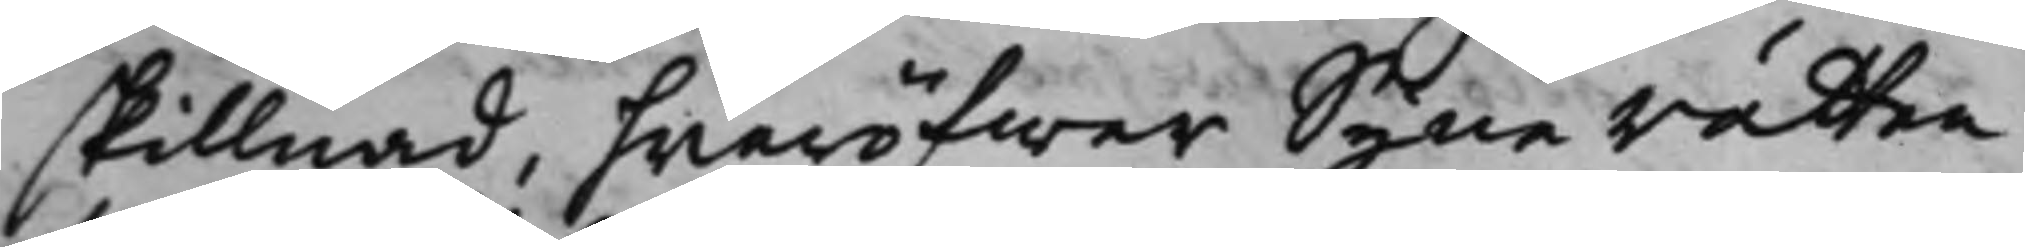skillnad, hwaröfwer Syne rätten
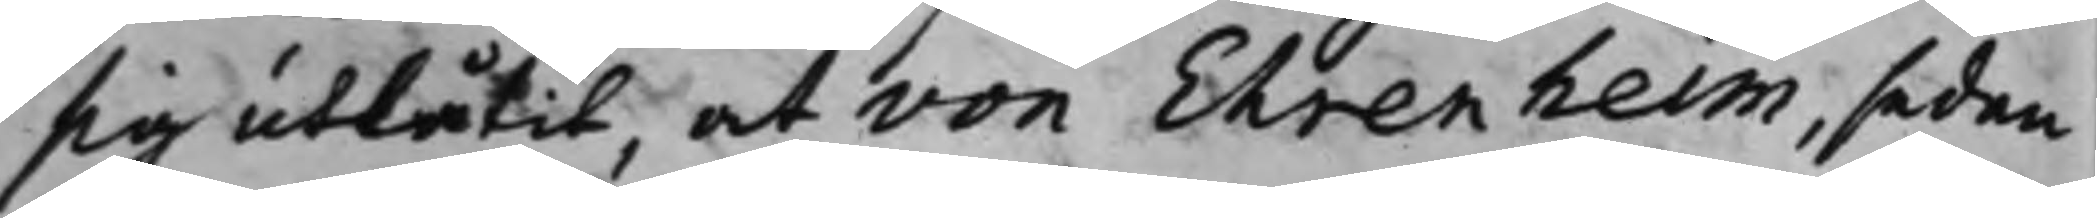sig utlåtit, at von Ehrenheim, sedan
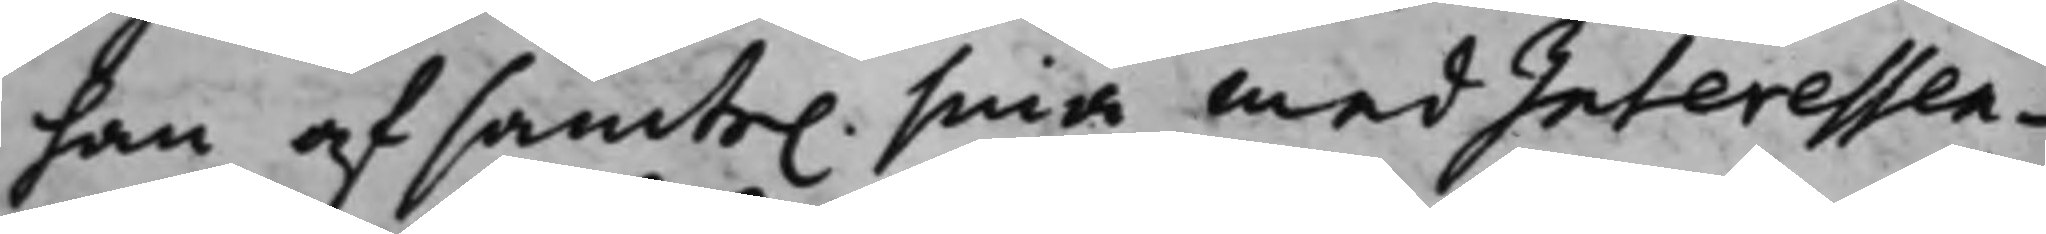han af samte. sina medInteressen¬
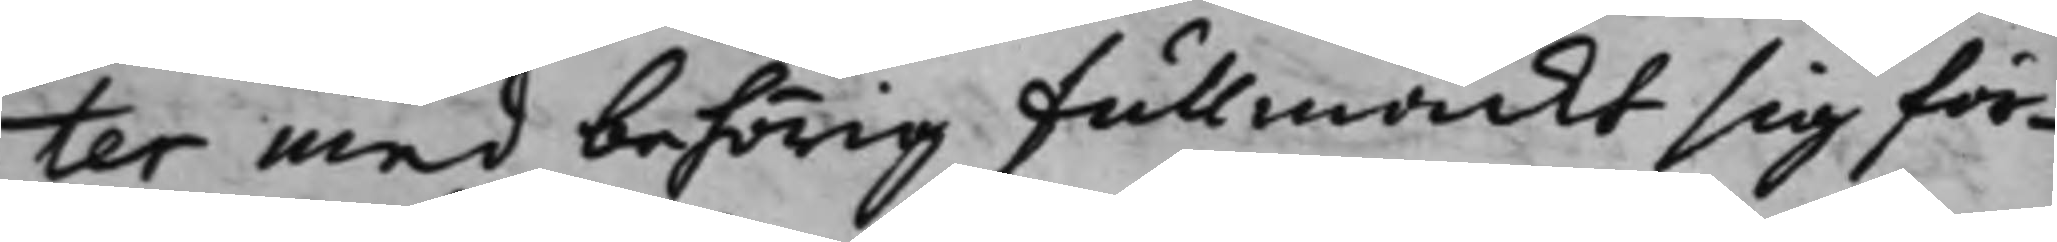ter med behörig fullmackt sig för¬
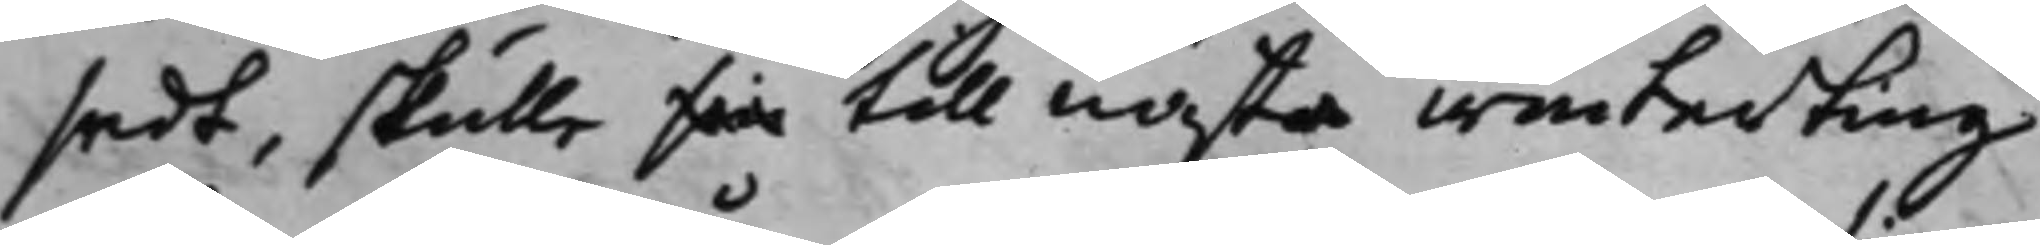sedt, skulle sin till nästa winterting
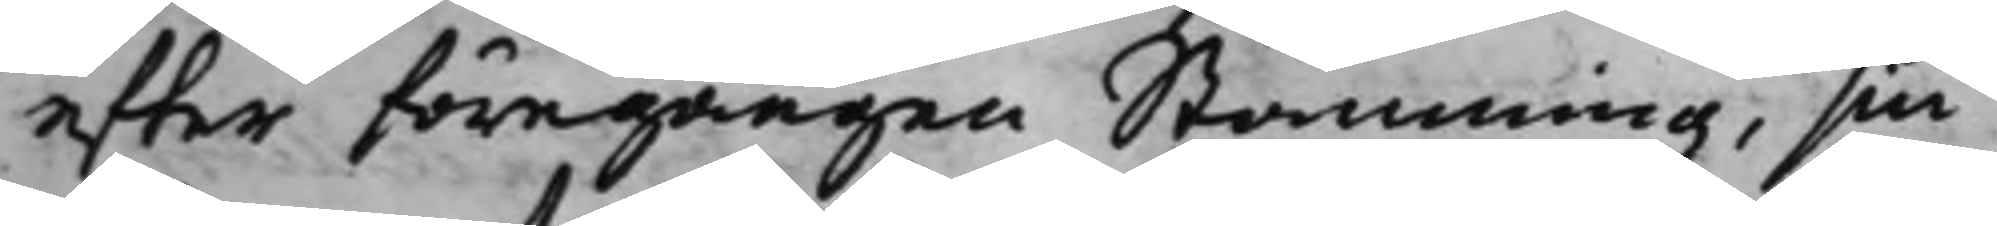efter föregången Stämning, sin
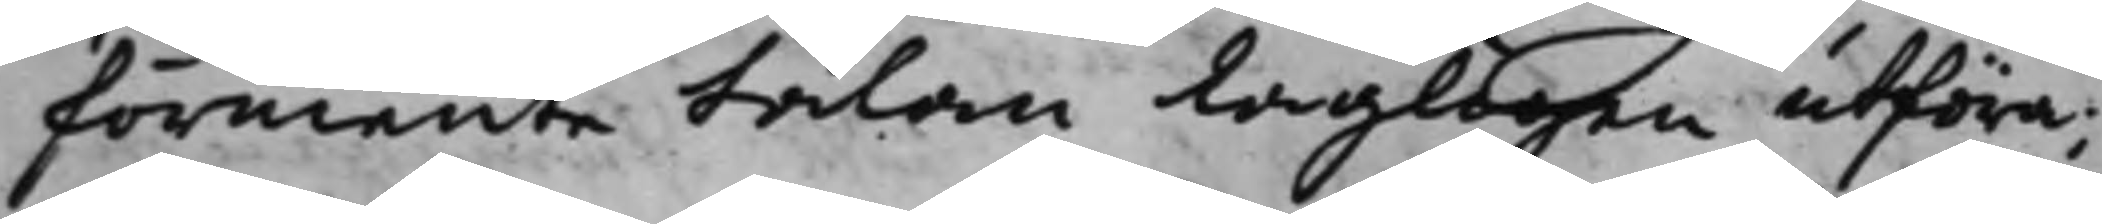förmente talan Lagligen utföra;
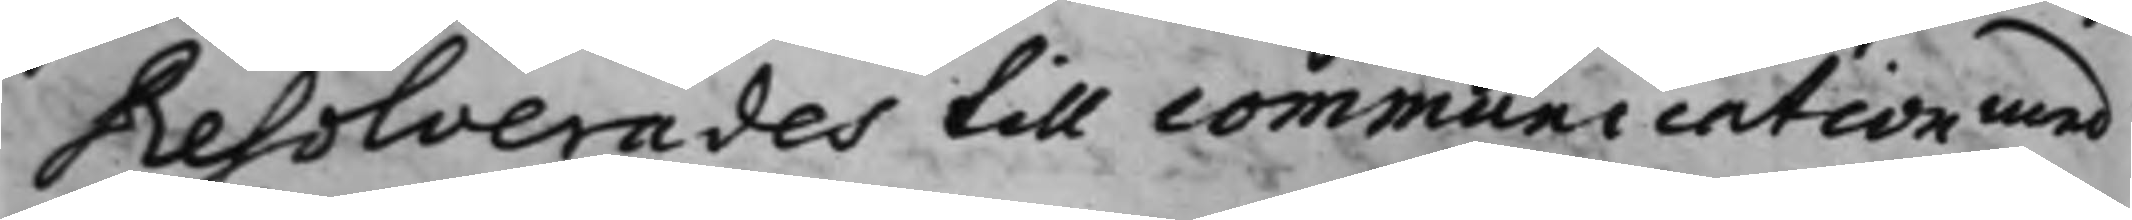Resolverades till communication med
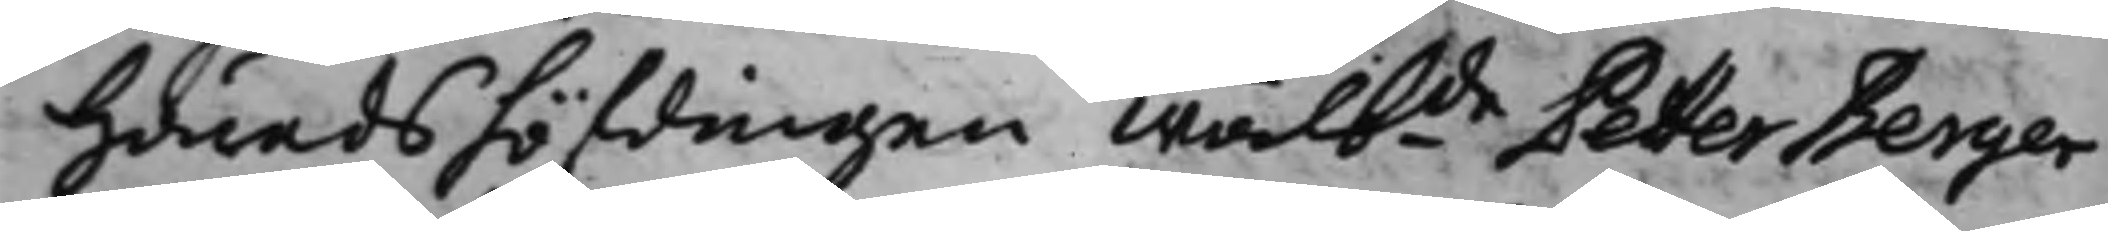Häradshöfdingen Wälbde Petter Berger
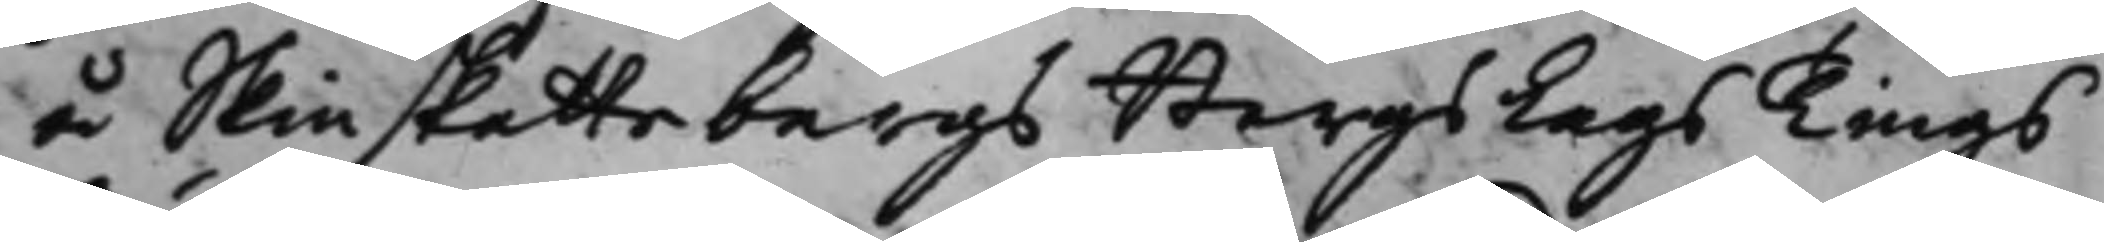å Skinskattebergs BergsLags Tings¬
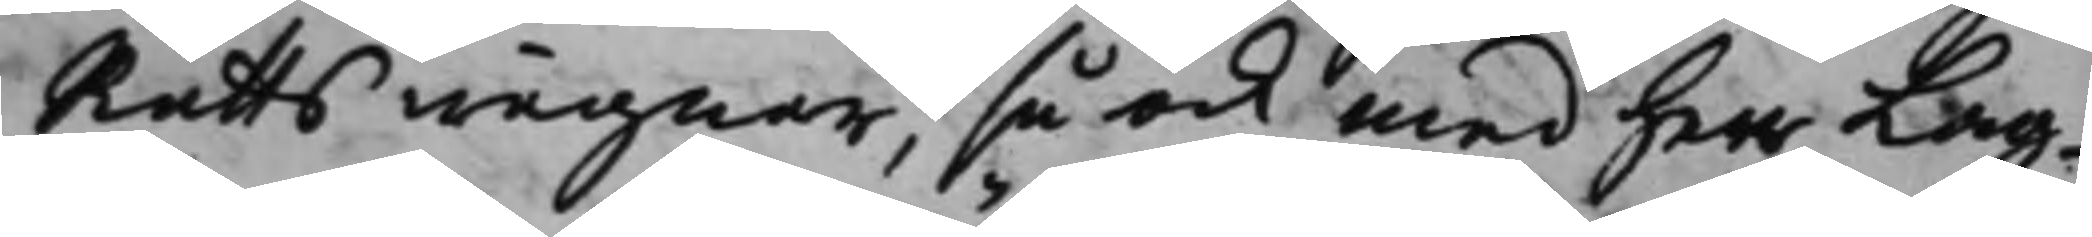Rätts wägnar, så ock med herr Lag¬
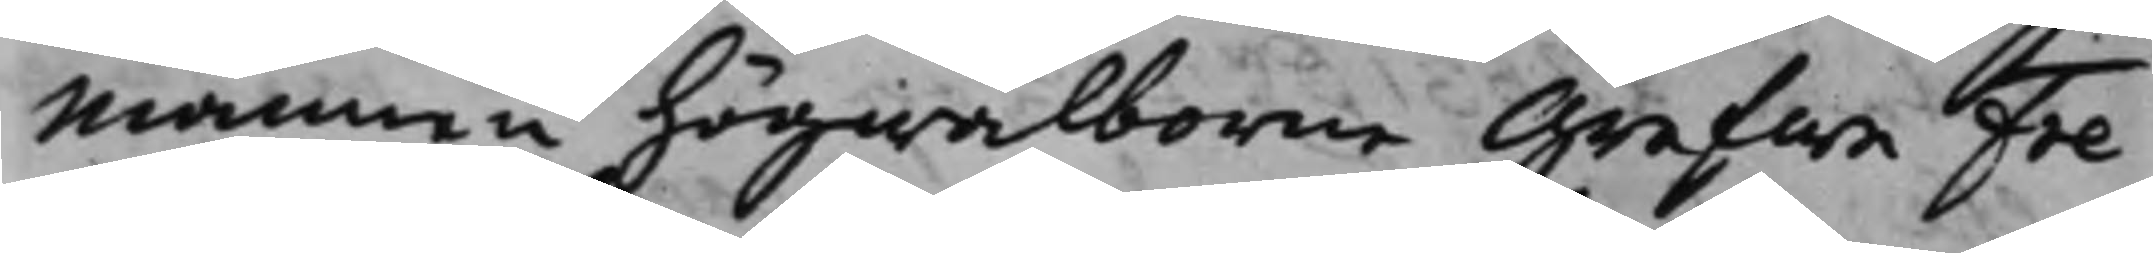mannen Högwälborne Grefwe Fre¬
